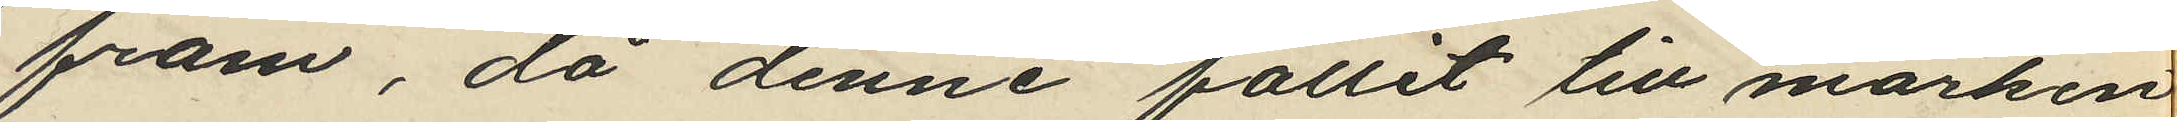fram, då denne fallit till marken
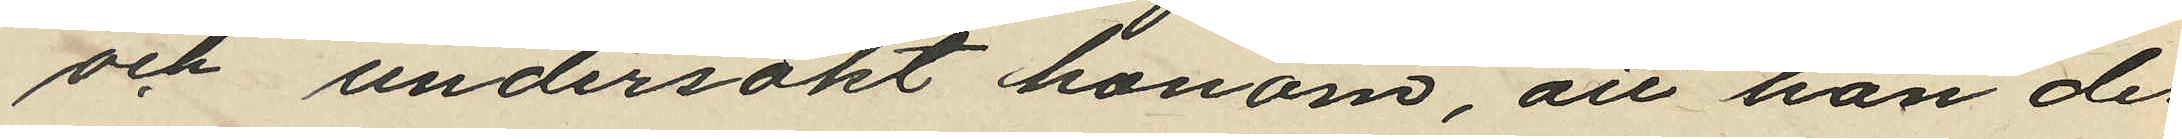och undersökt honom, att han der
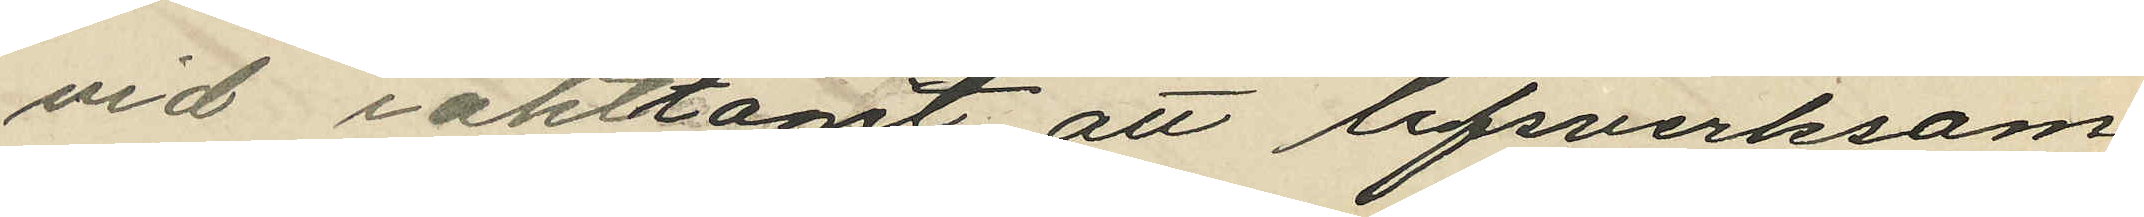vid iakttagit att lifsverksam
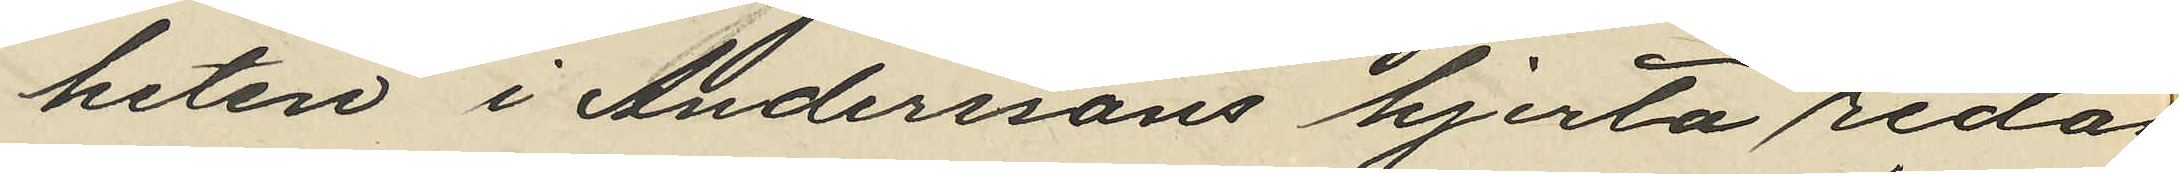heten i Anderssons hjerta redan
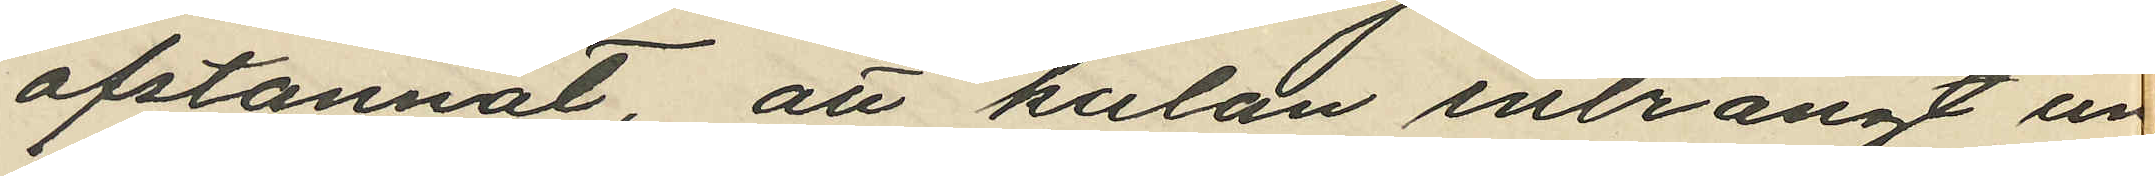afstannat, att kulan inträngt un
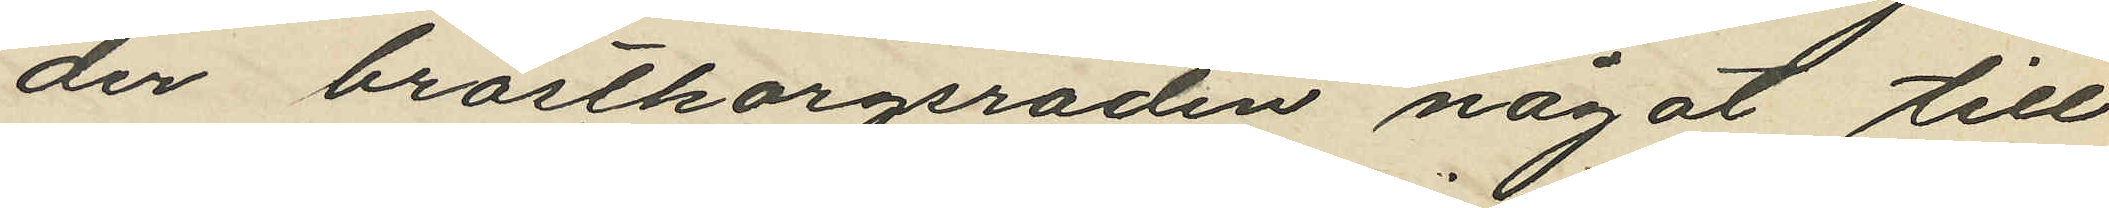der bröstkorgsraden något till
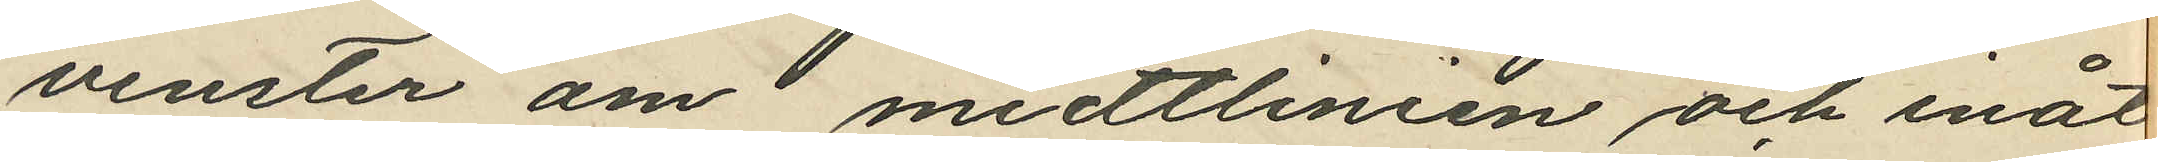vinster om midtlinien och inåt
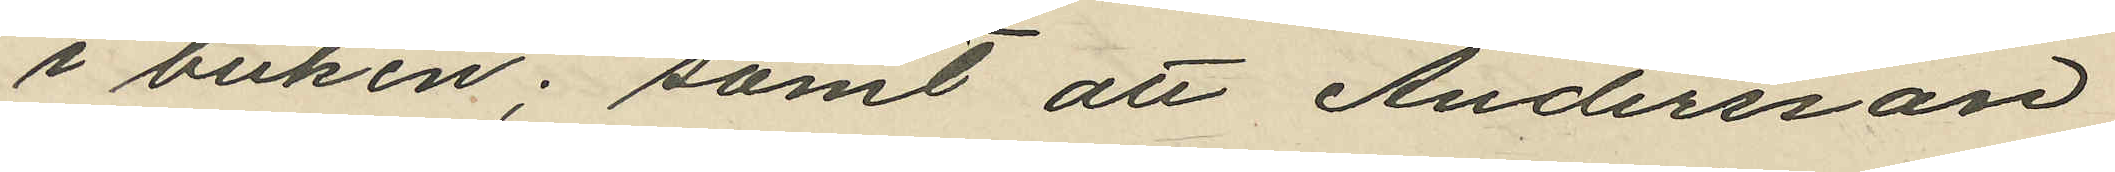i buken; samt att Andersson
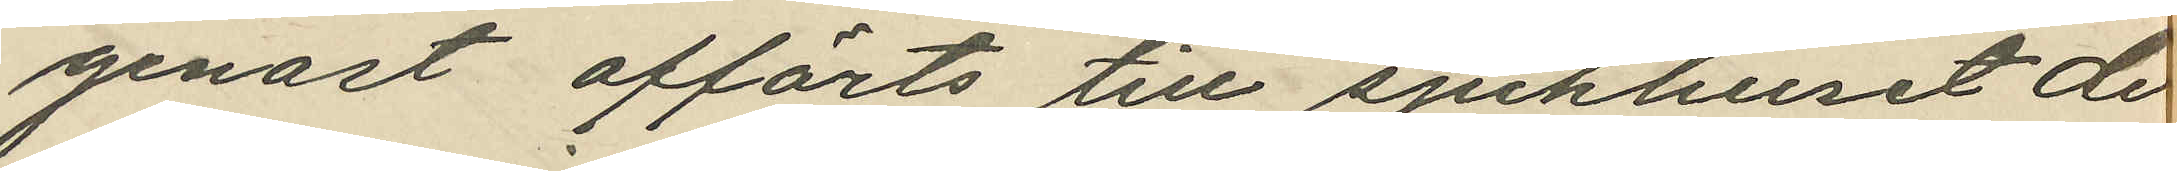genast afförts till sjukhuset de
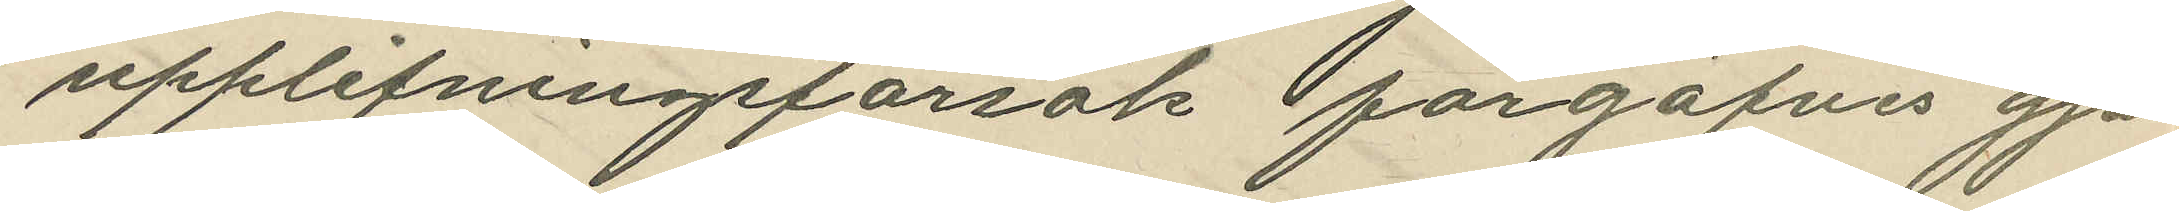upplifningsförsök förgäfves gjor
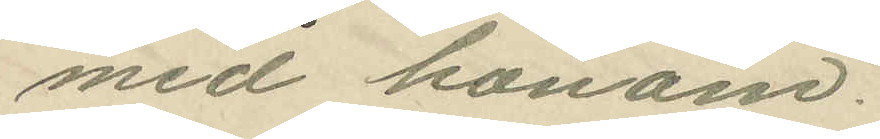med honom.
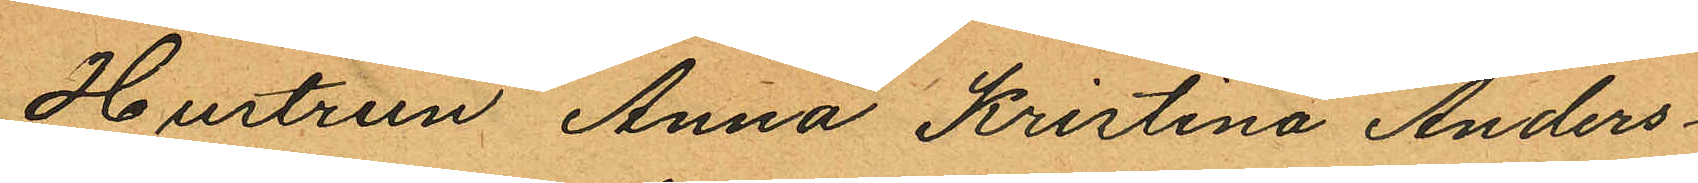Hustrun Anna Kristina Anders¬
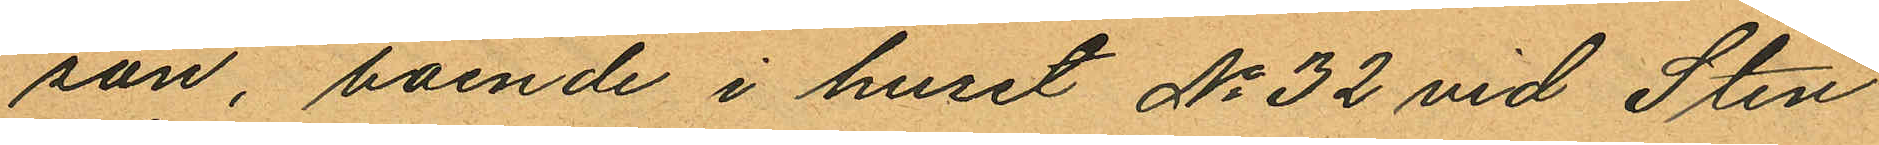son, boende i huset No 32 vid Sten
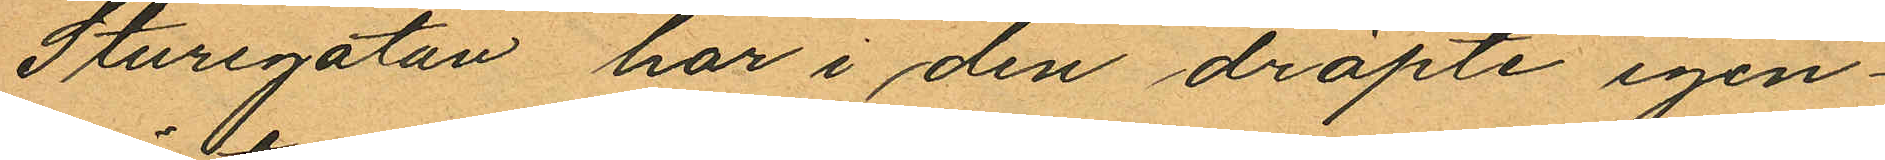Sturegatan har i den dräpte igen¬
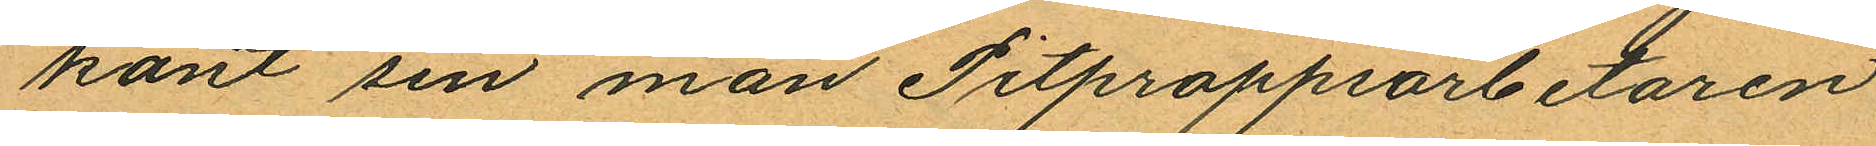känt sin man Pitproppsarbetaren
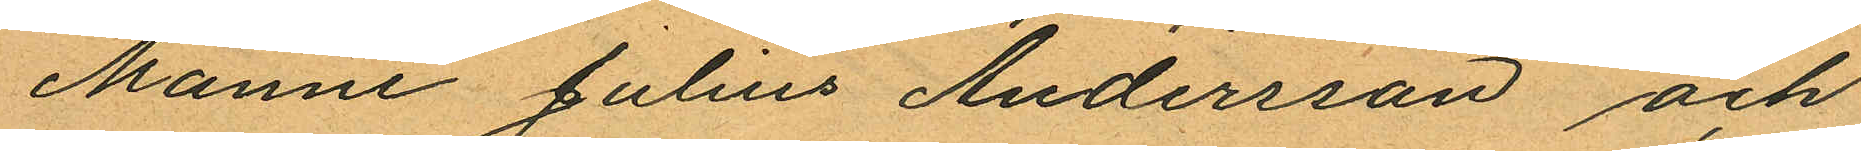Manne Julius Andersson och
